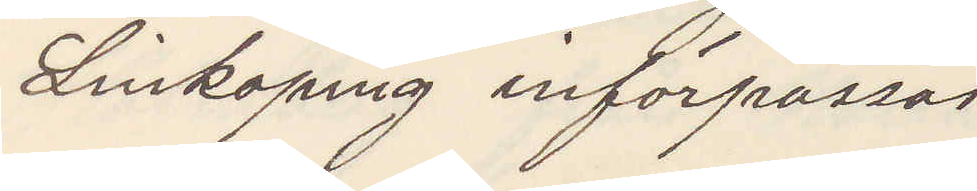Linköping införpassas
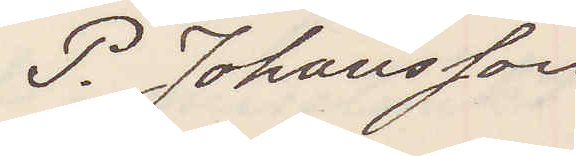P. Johansson
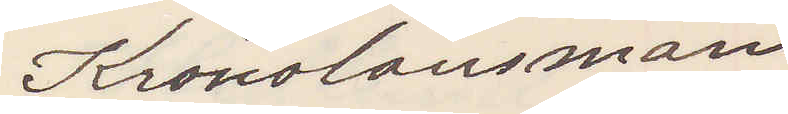Kronolänsman
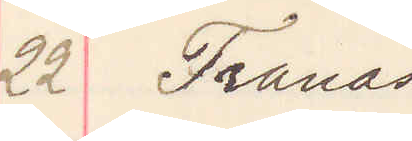22 Tranås
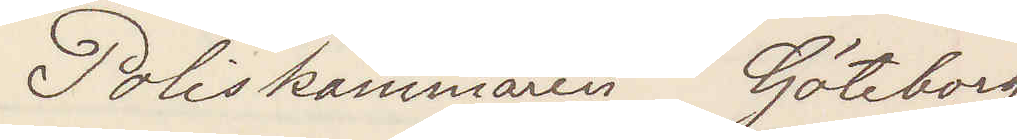Poliskammaren Göteborg
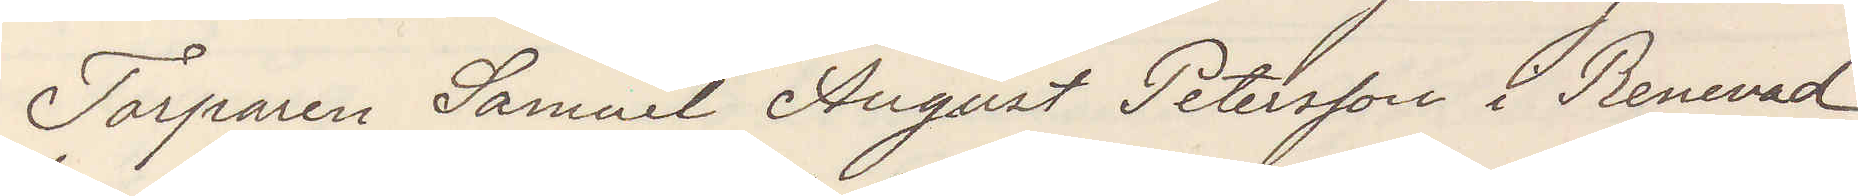Torparen Samuel August Petersson i Renevad
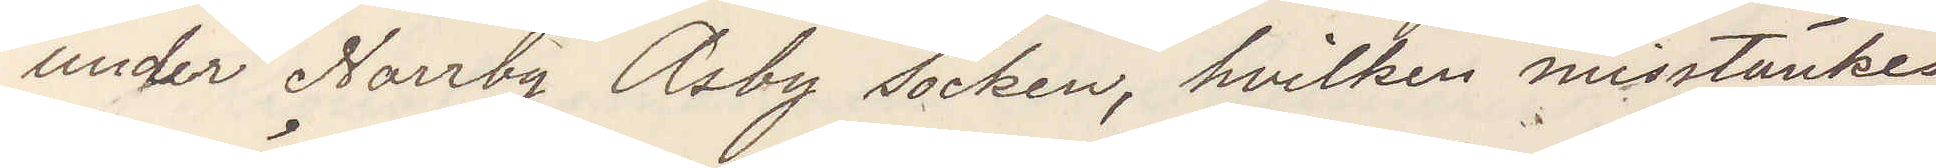under Norrby Asby socken, hvilken misstänkes
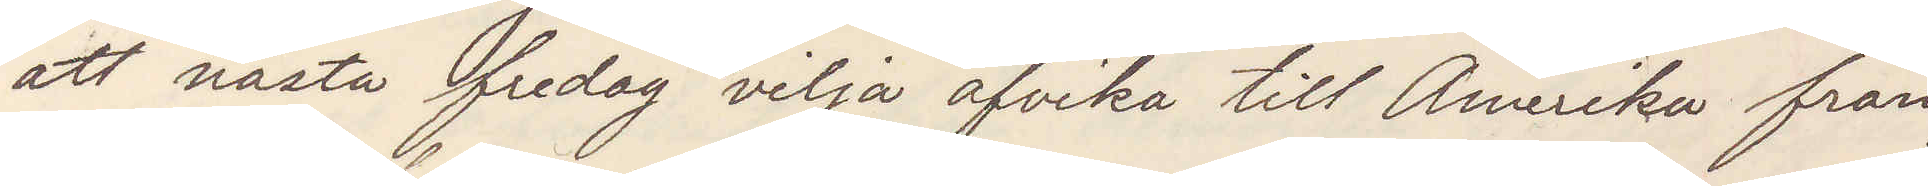att nästa fredag vilja afvika till Amerika från
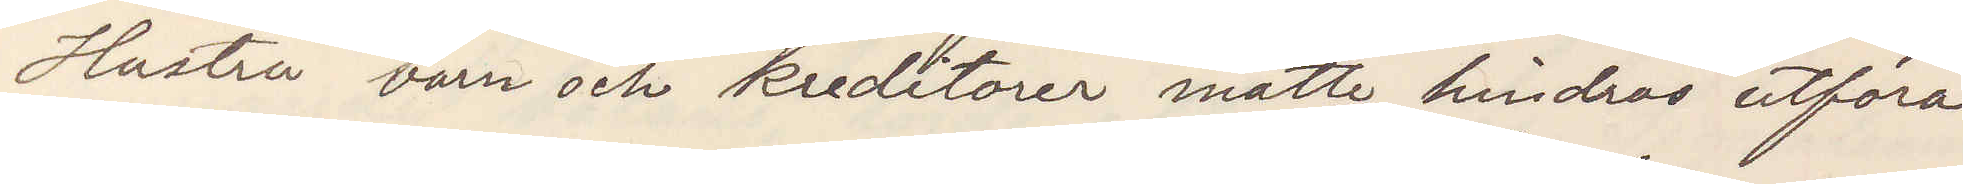Hustru barn och kreditorer måtte hindras utföra
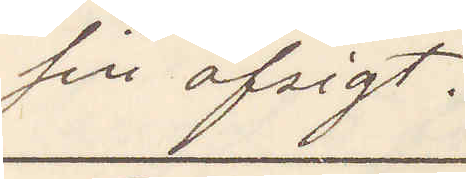sin afsigt.
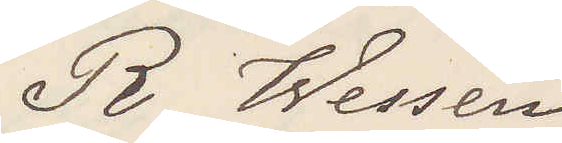R Wessén
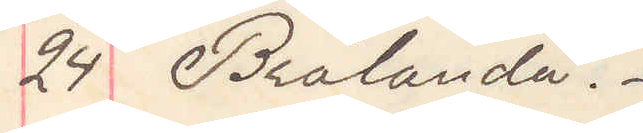24 Brålanda.
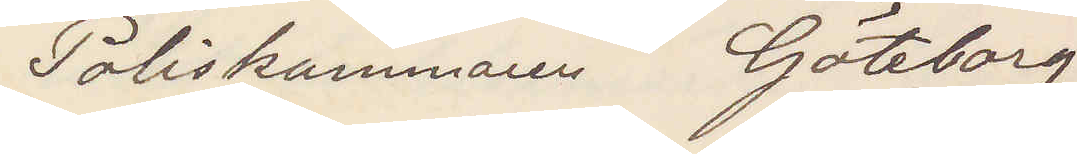Poliskammaren Göteborg
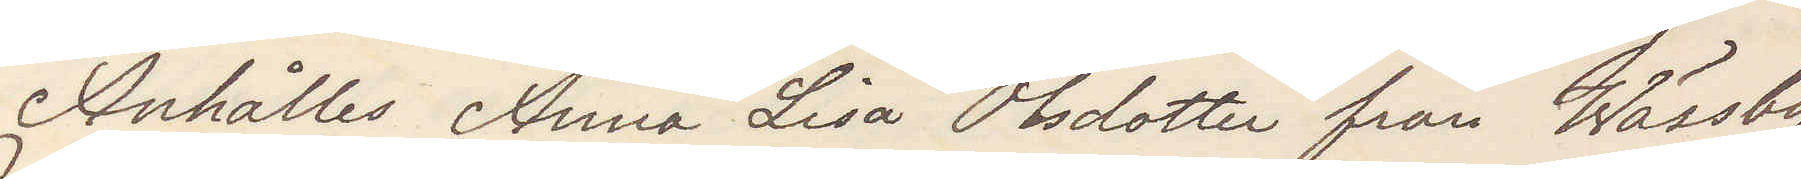Anhålles Anna Lisa Olsdotter från Wässby
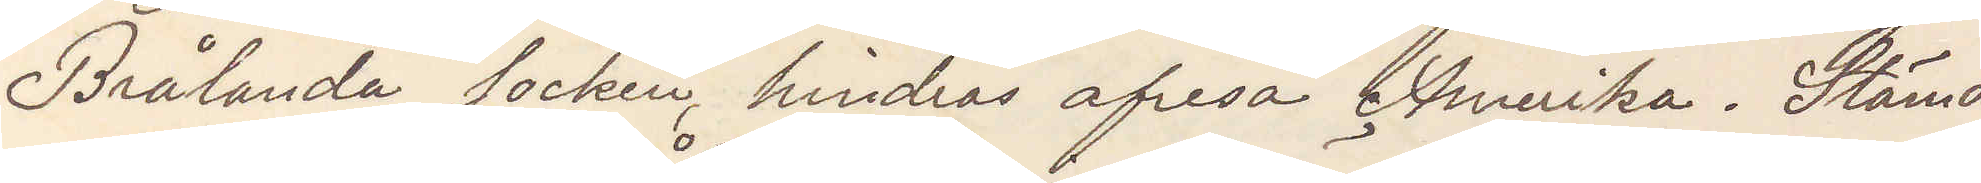Brålanda socken, hindras afresa Amerika. Stämd
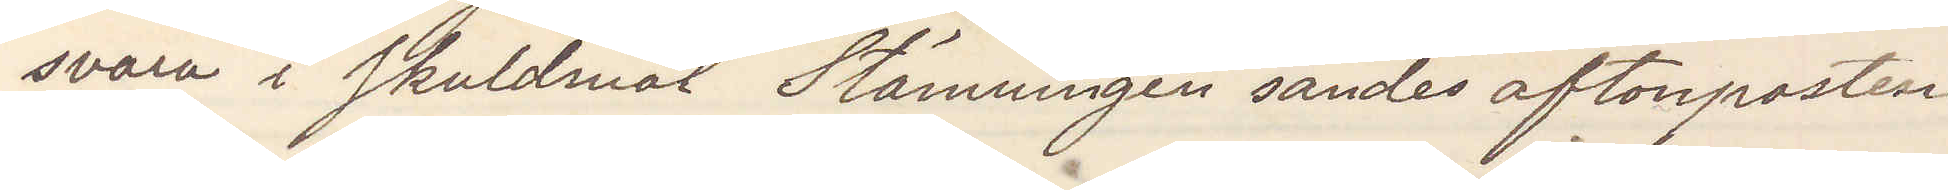svara i skuldmål Stämningen sändes aftonposten
